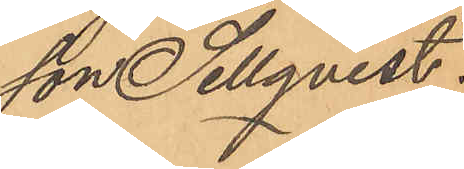son Sellqvist.
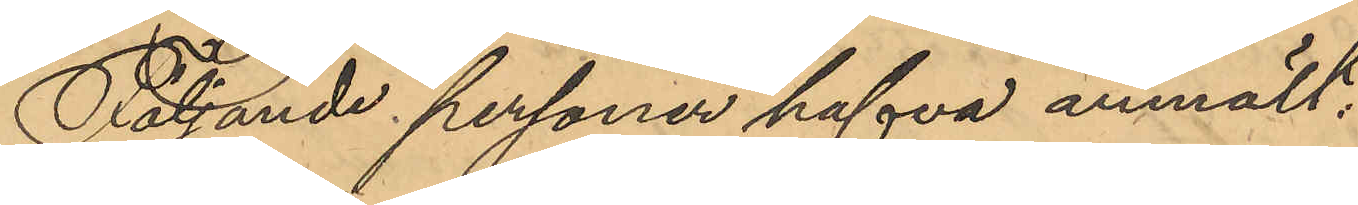Följande personer hafva anmält:
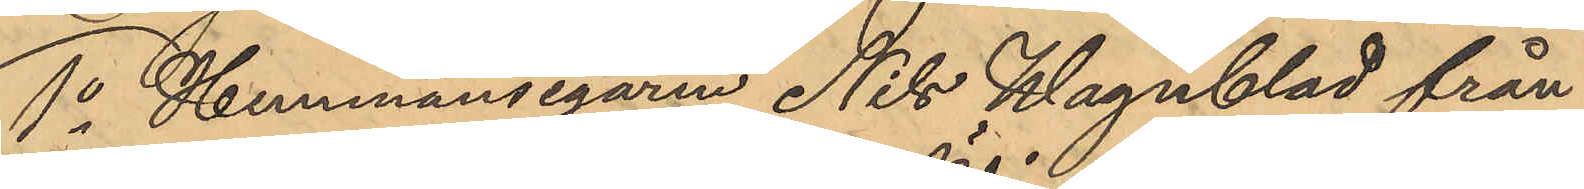1o Hemmansegaren Nils Wagnblad från
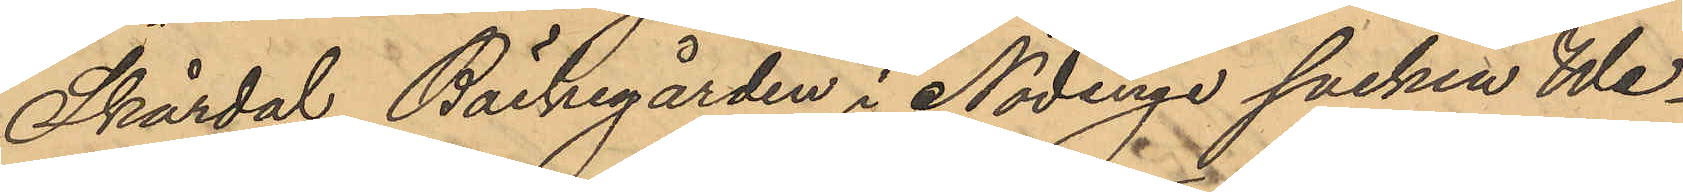Skärdal Bäckegården i Nödinge socken We¬
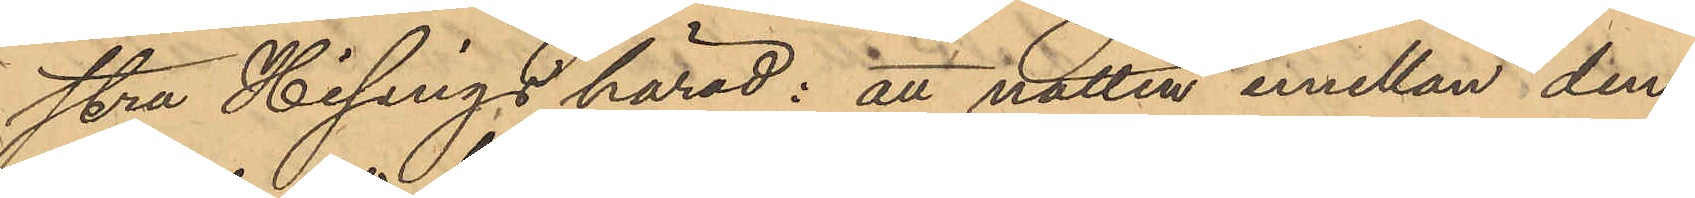stra Hisängs härad: att natten emellan den
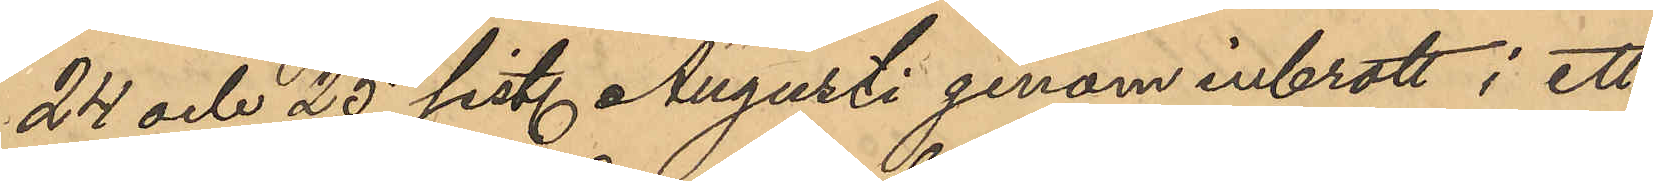24 och 25 sist. Augusti genom inbrott i ett
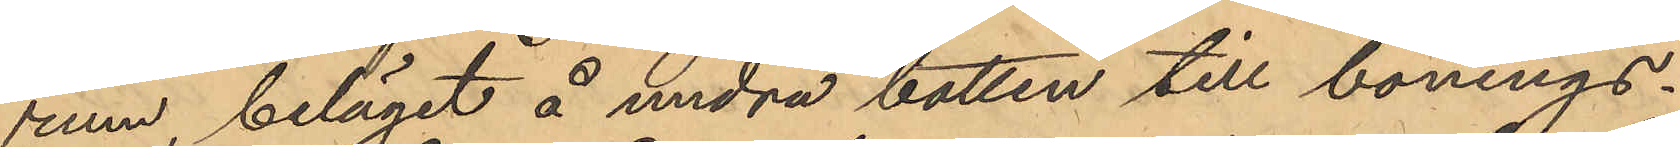rum, beläget å undra botten till bonings¬
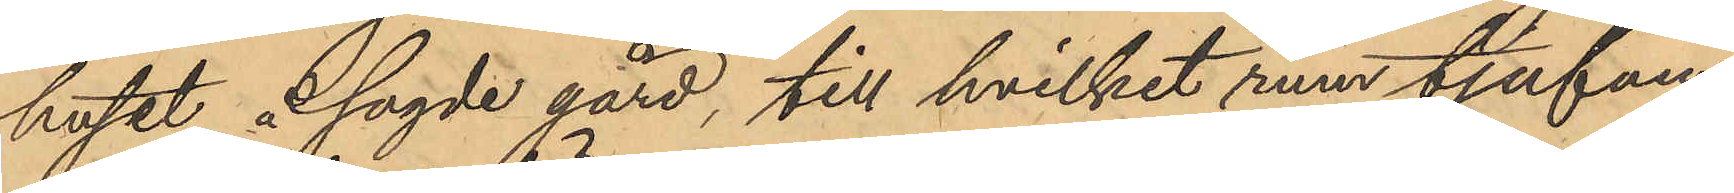huset i sagde gård, till hvilket rum tjufven
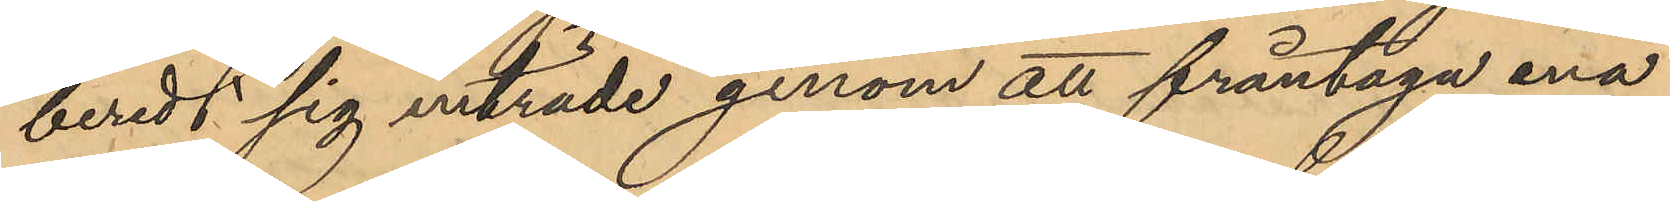beredt sig inträde genom att fråntaga ena
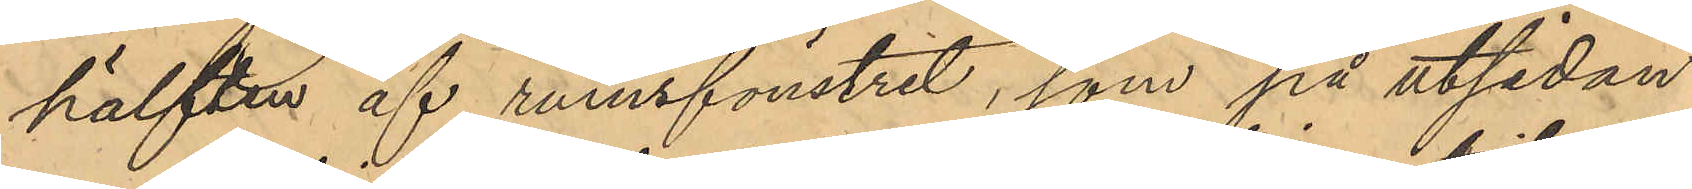hälften af rumsfönstret, som på utsidan
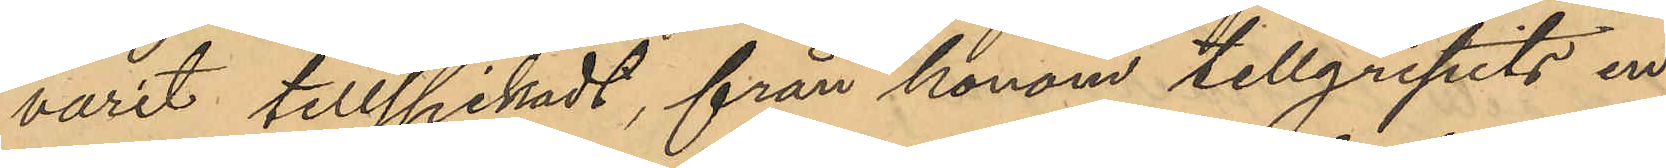varit tillspikadt, från honom tillgripits en
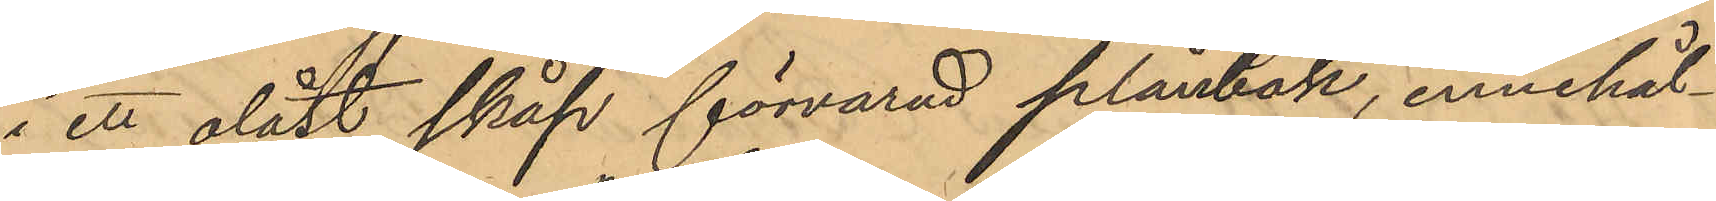i ett olåst skåp förvarad plånbok, innehål¬
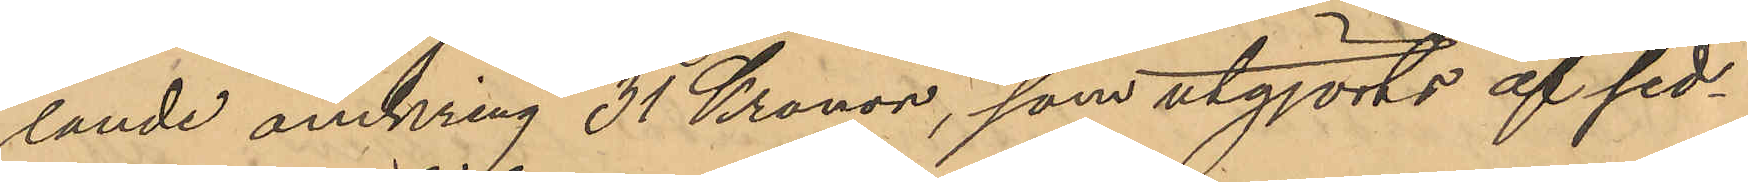lande omkring 31 Kronor, som utgjorts af sed¬
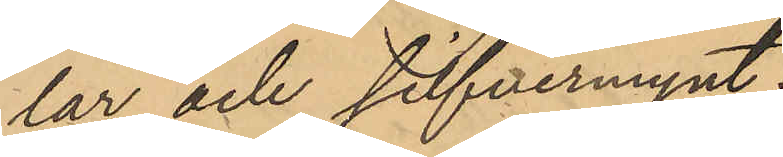lar och silfvermynt.
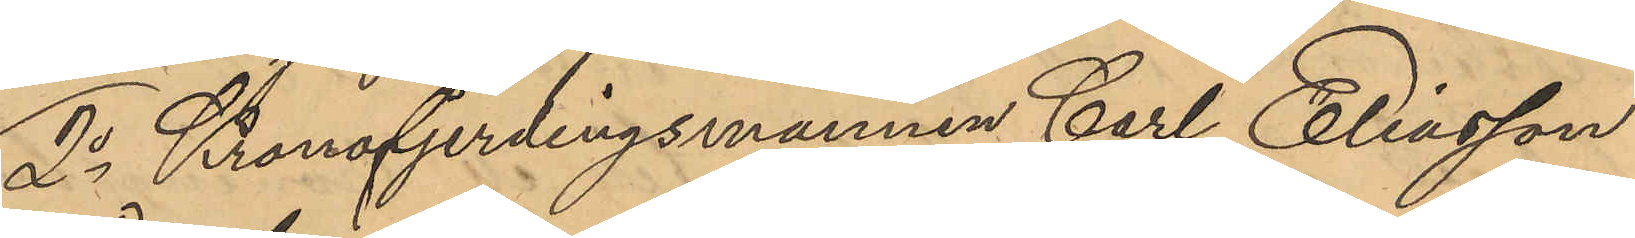2o Kronofjerdingsmannen Carl Eliasson
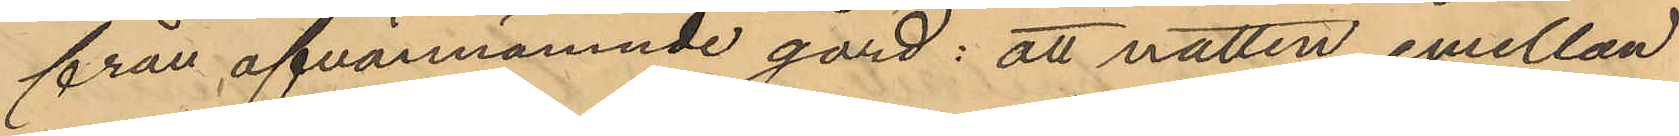från ofvannämnde gård: att natten emellan
